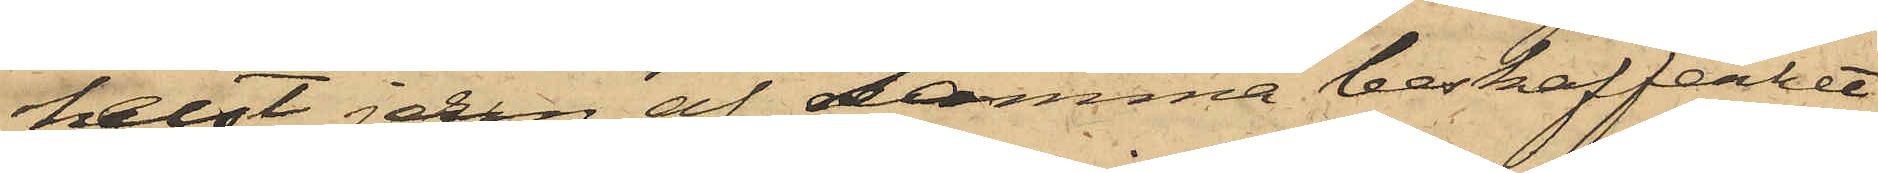helst jern af samma beskaffenhet
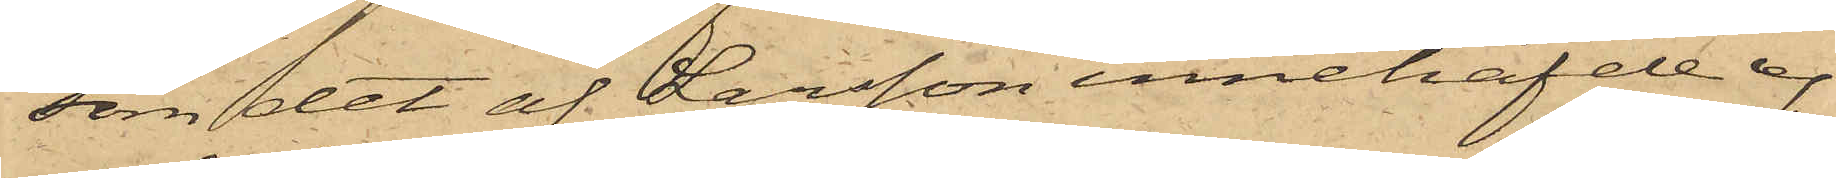som det af Larsson innehafde ej
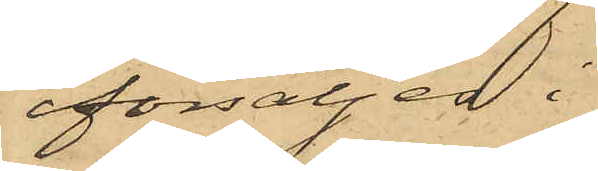försäljes i
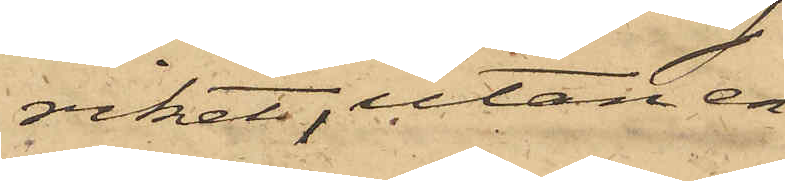riket, utan en¬
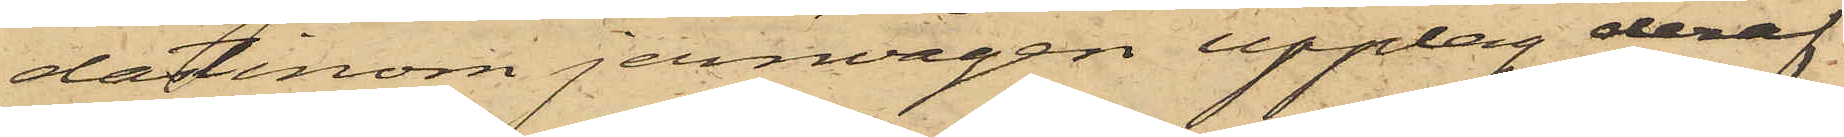dast inom jernvågen upplag deraf
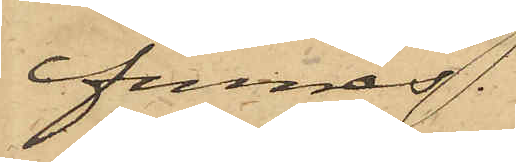finnes.
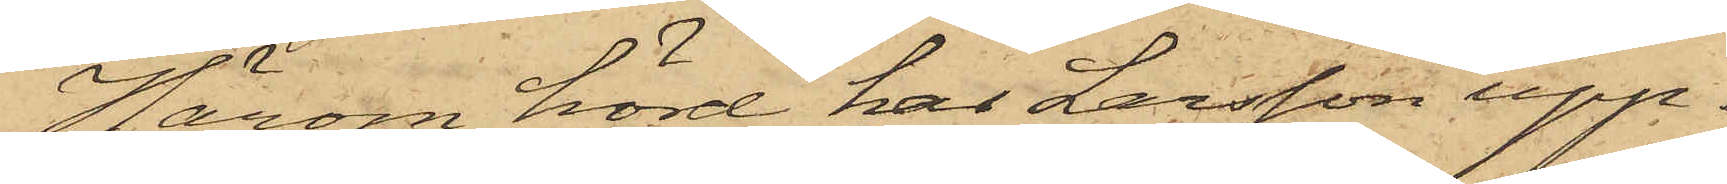Härom hörd har Larsson upp¬
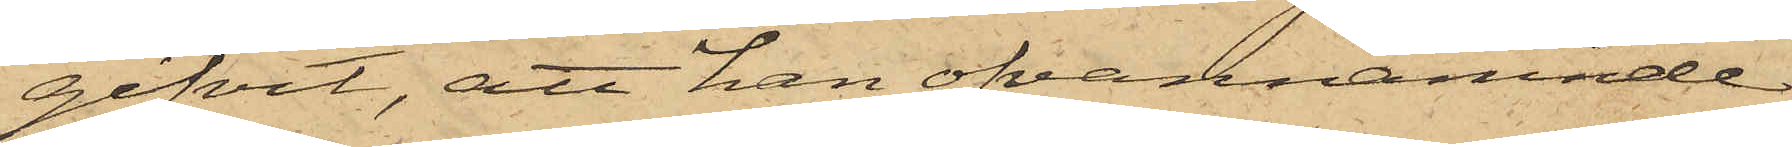gifvit, att han ofvannämnde
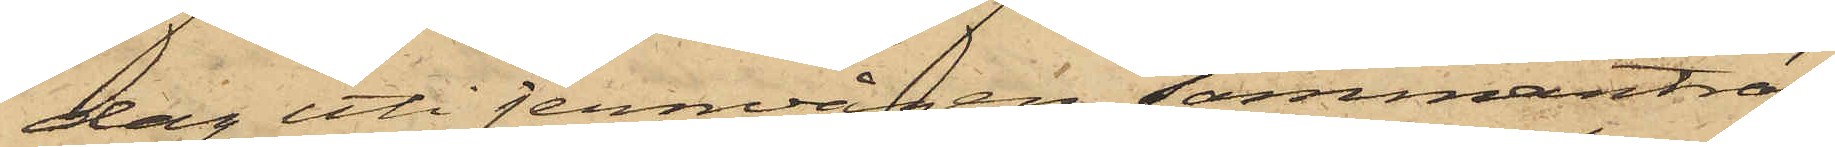dag uti jernvågen sammanträf¬
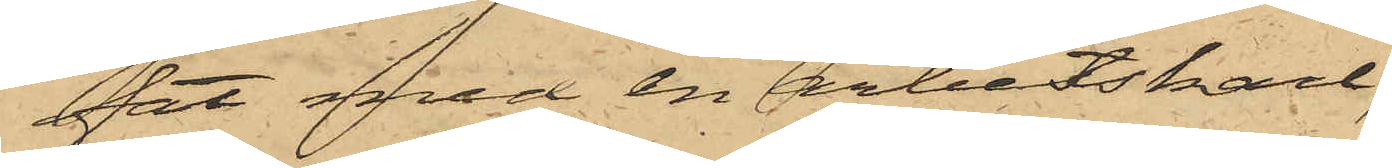fat med en arbetskarl,
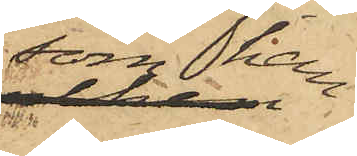som han
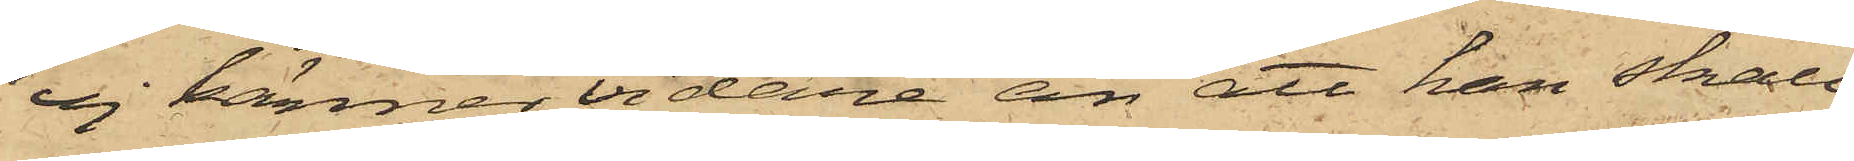ej känner vidare än att han skall
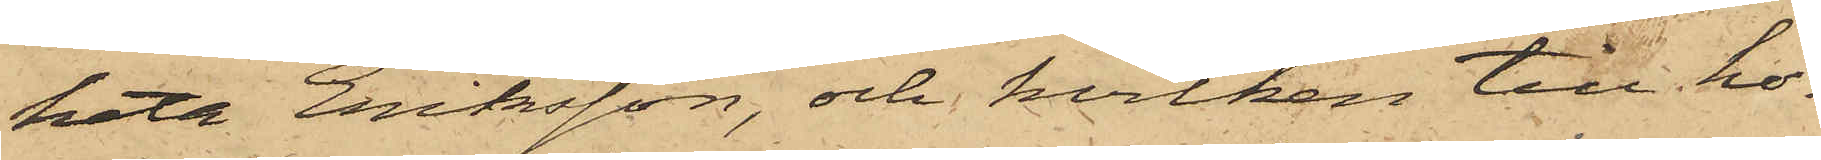heta Eriksson, och hvilken till ho¬
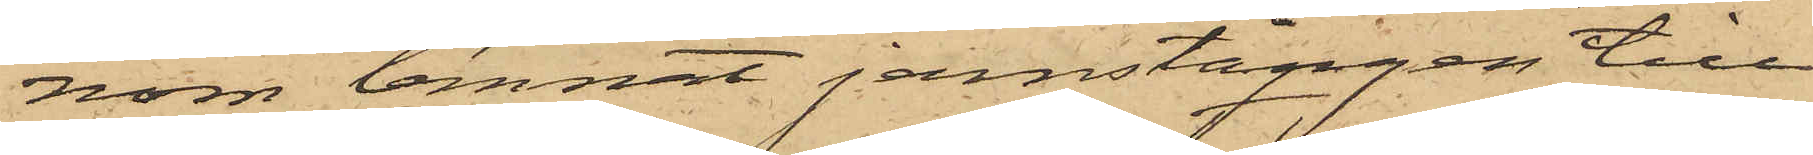nom lemnat jernstången till
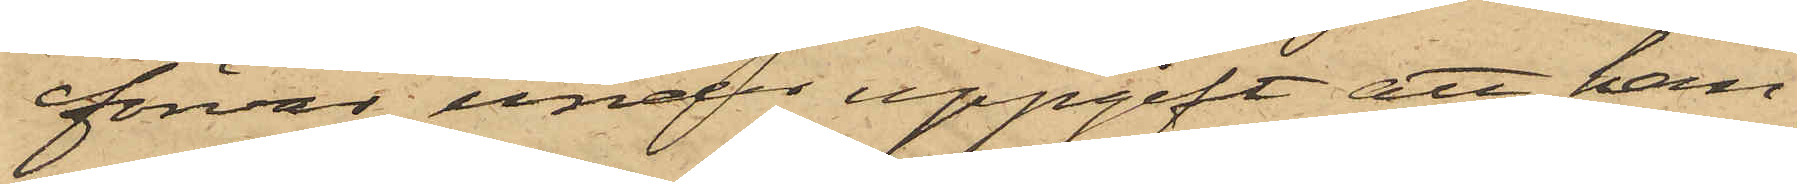förvar, under uppgift att han
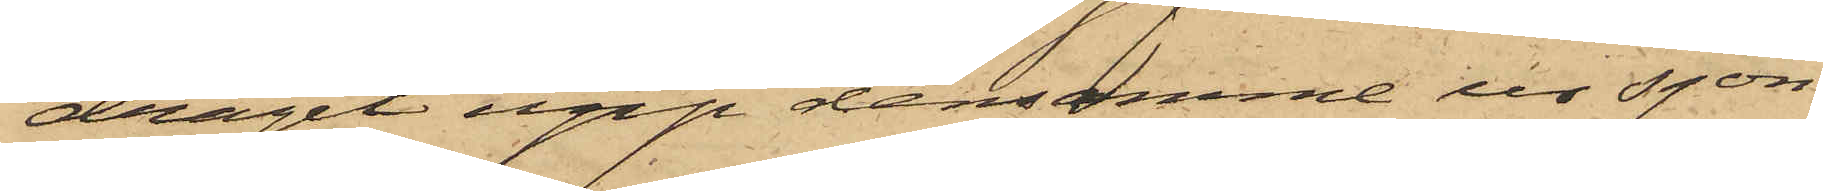dragit upp densamme ur sjön
